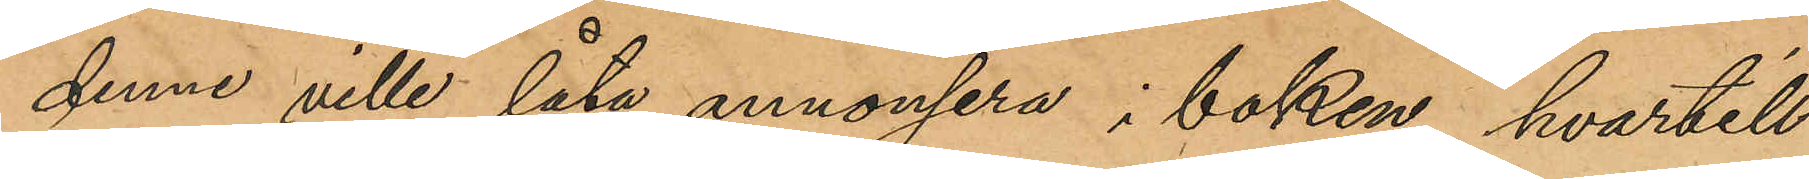denne ville låta annonsera i boken, hvartill
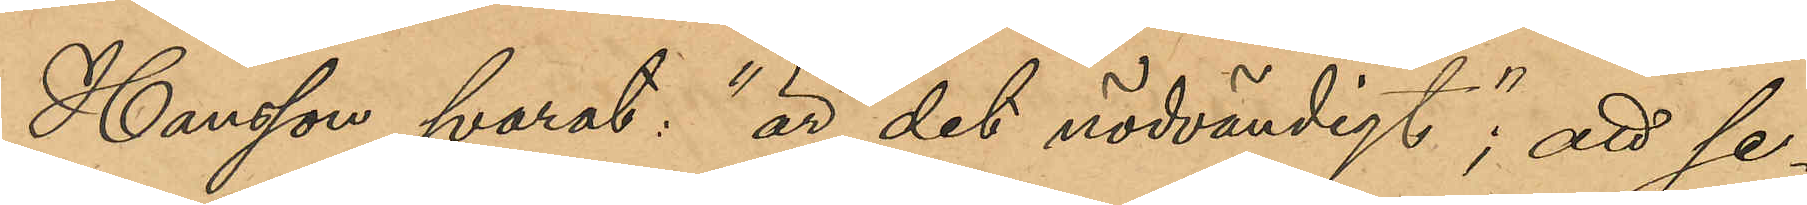Hansson svarat "är det nödvändigt"; att se¬
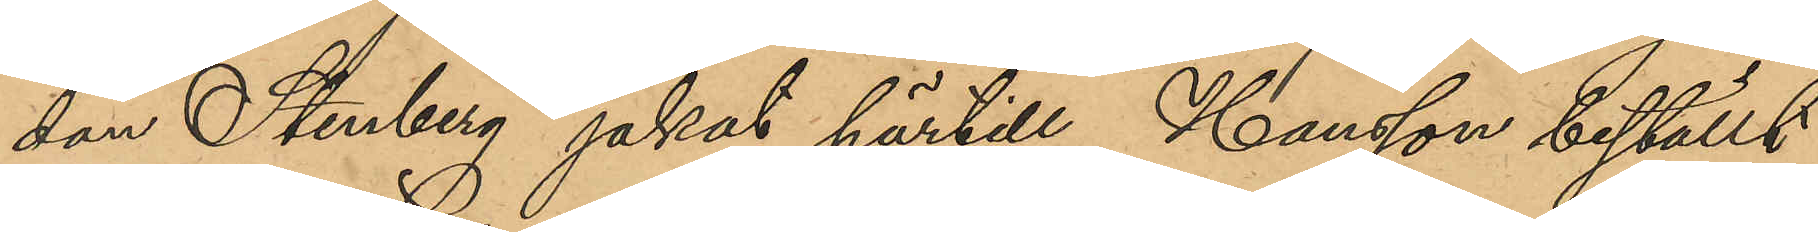dan Stenberg jakat härtill, Hansson beställt
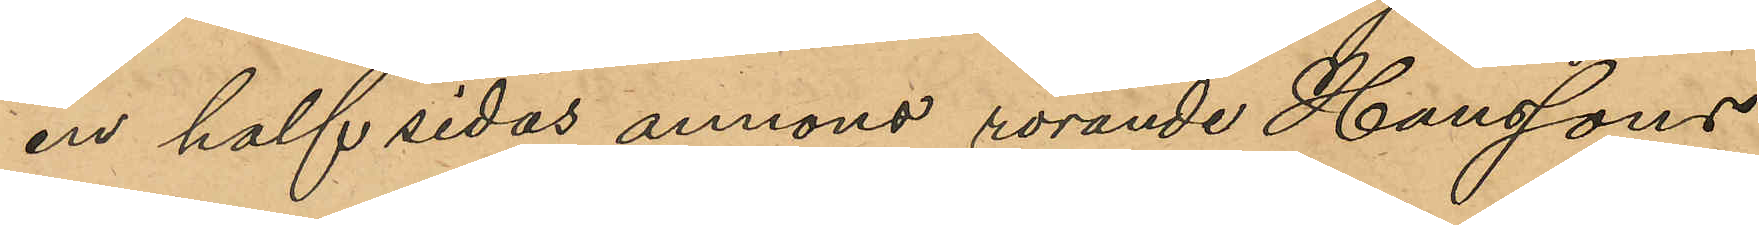en halfsides annons rörande Hanssons
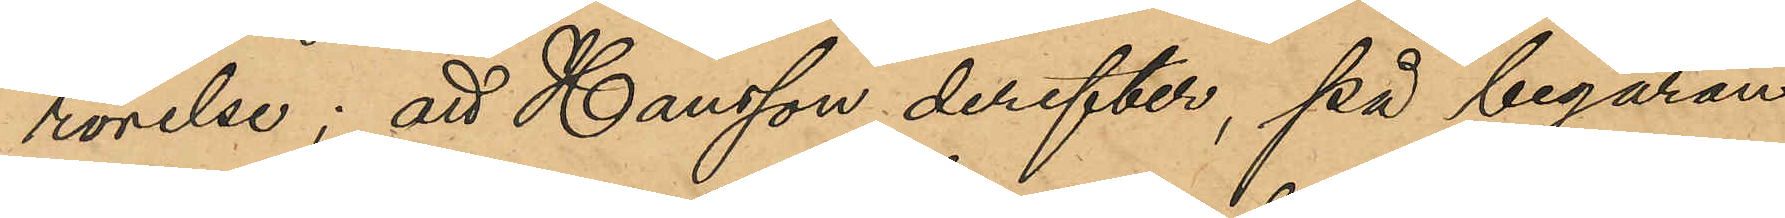rörelse; att Hansson derefter, på begäran
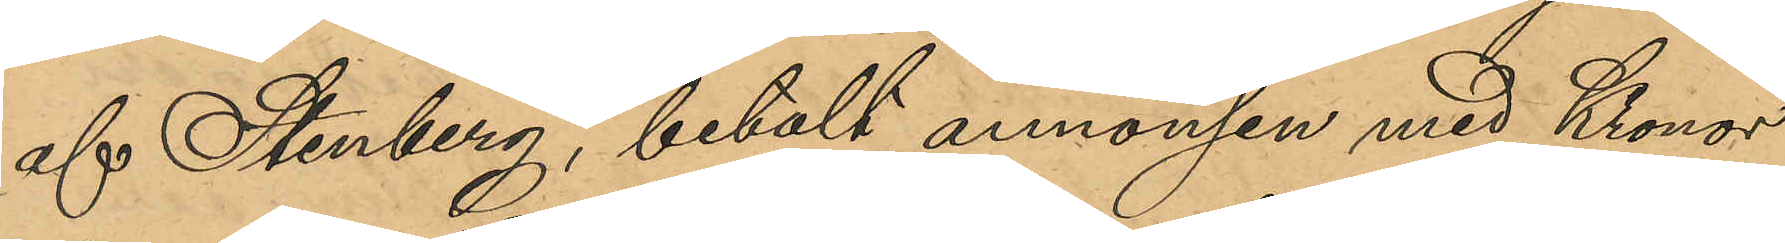af Stenberg, betalt annonsen med Kronor
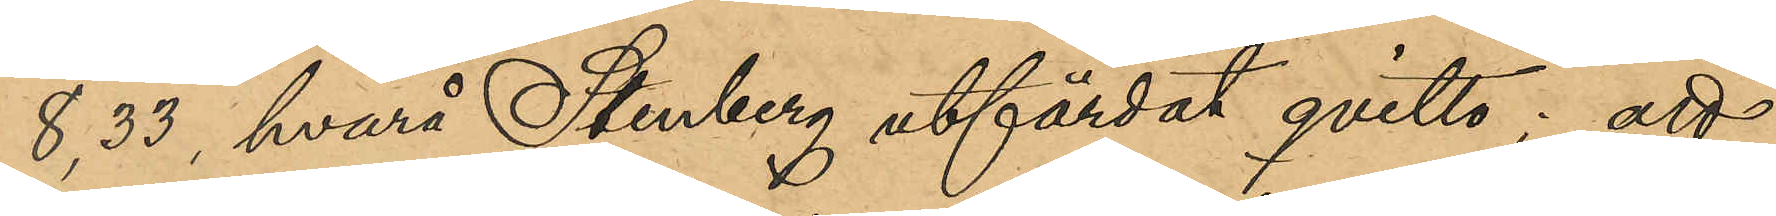8,33, hvarå Stenberg utfärdat qvitto; att
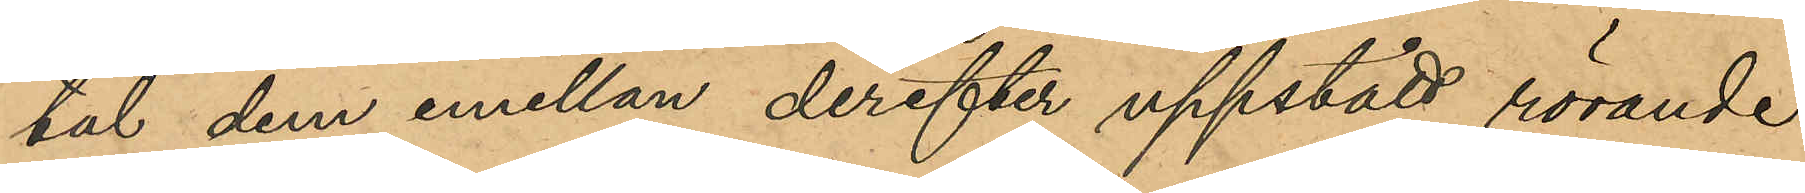tal dem emellan derefter uppstådt rörande
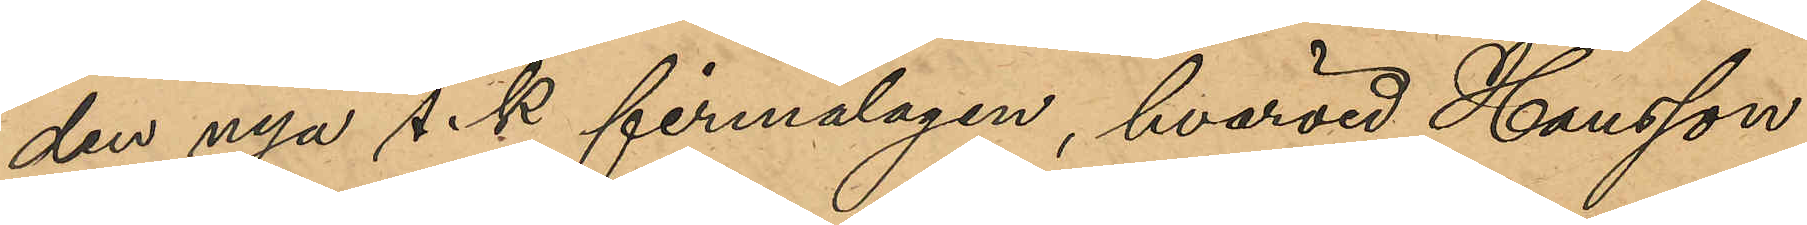den nya s.k. firmalagen, hvarvid Hansson
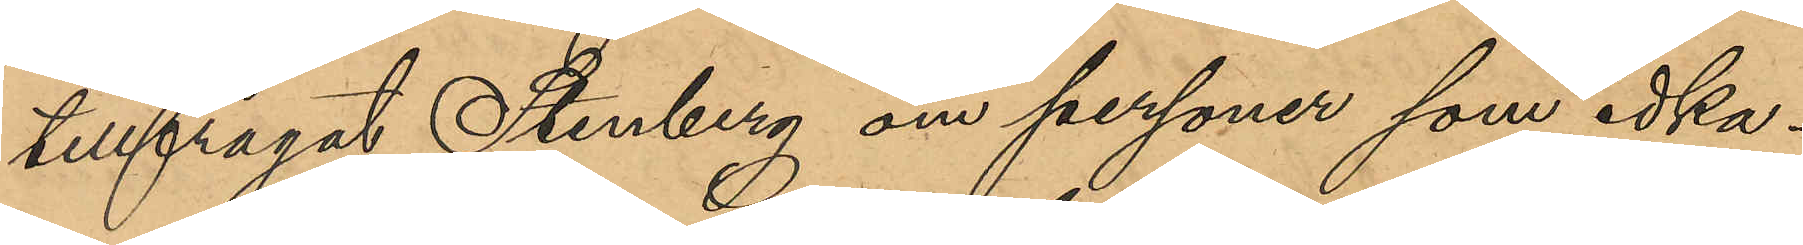tillfrågat Stenberg om personer som idka¬
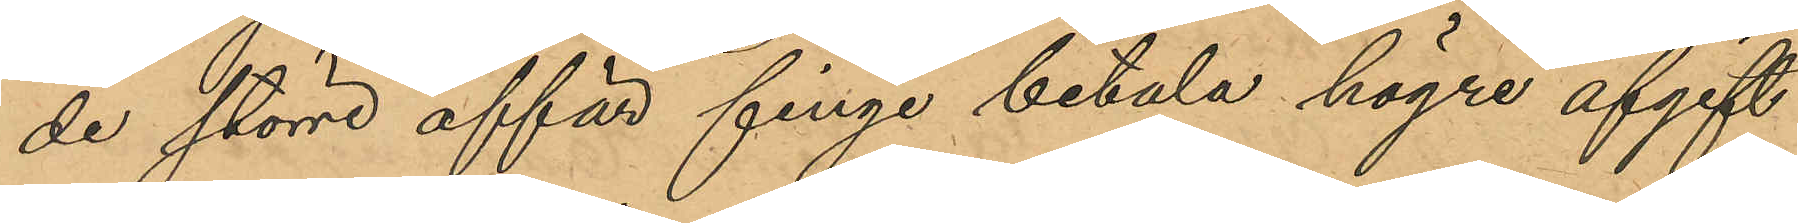de större affär finge betala högre afgift
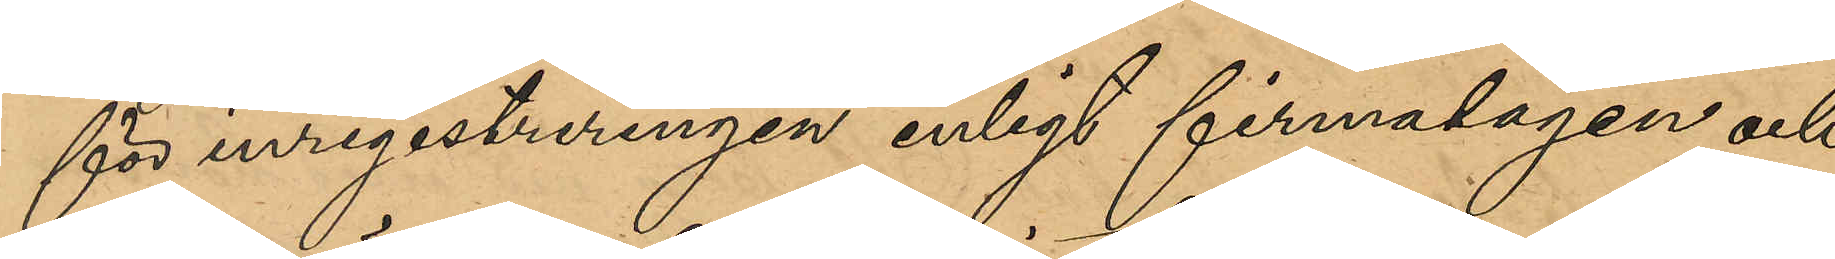för inregistreringen enligt firmalagen och
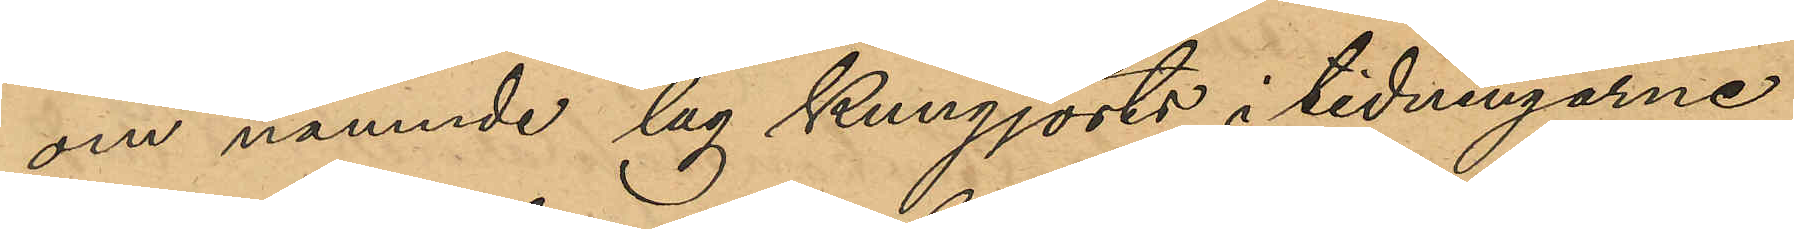om nämnde lag kungjorts i tidningarne;
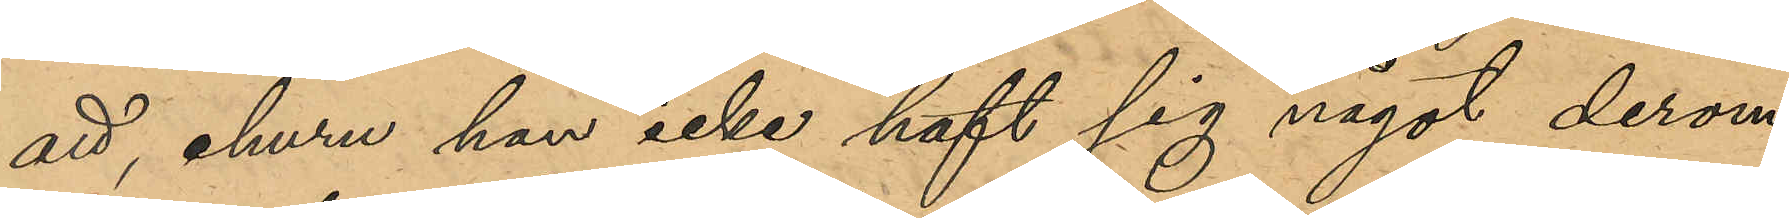att, ehuru han icke haft sig något derom
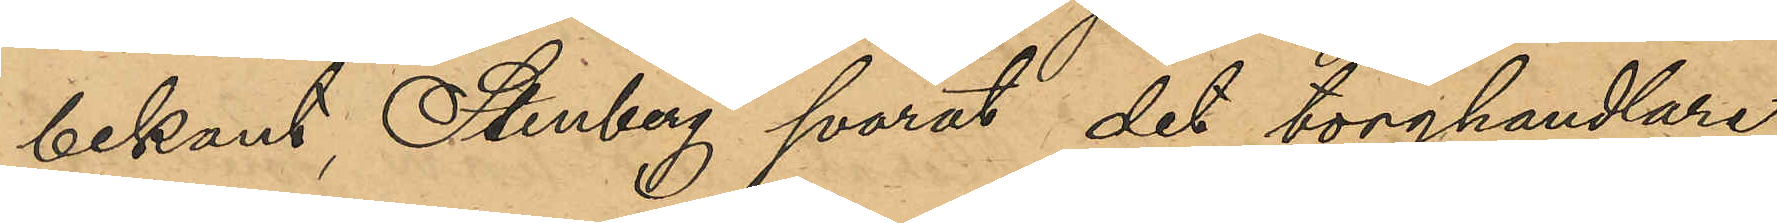bekant, Stenberg svarat det torghandlare
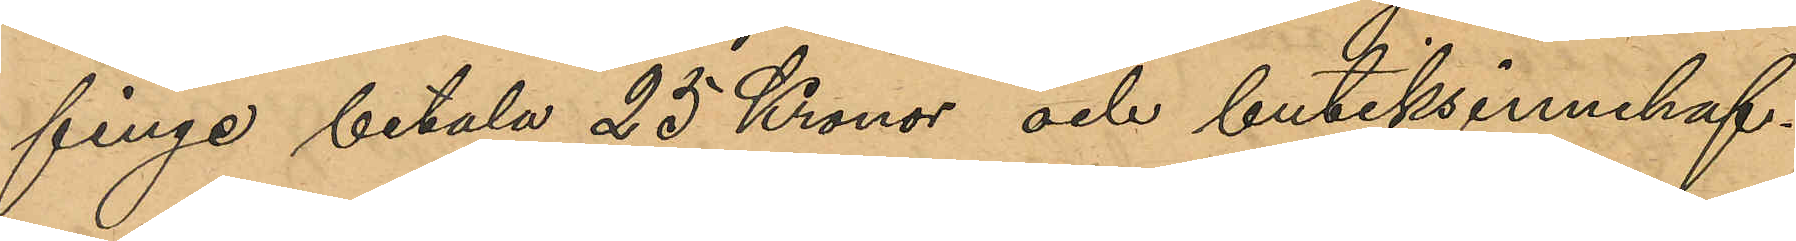finge betala 25 Kronor och butiksinnehaf¬
